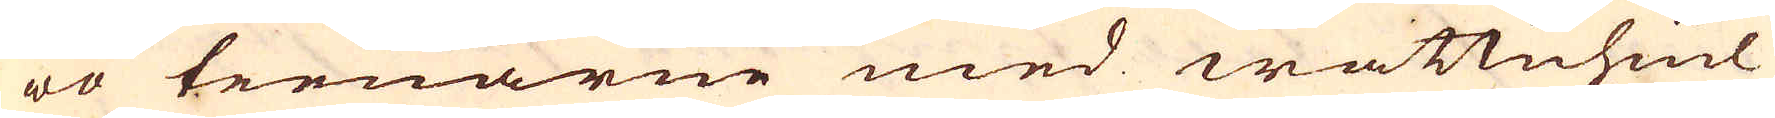wo teenarne med wattuhiul
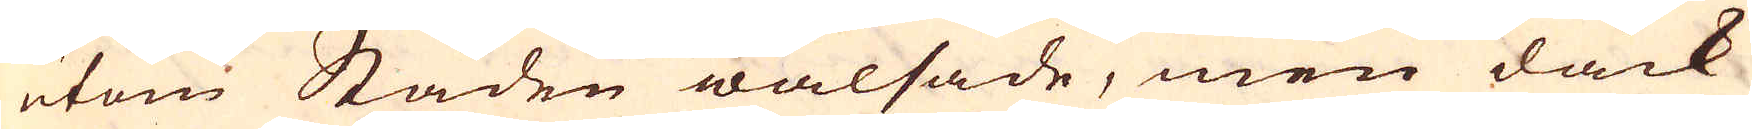utom Staden walsade, men dåck
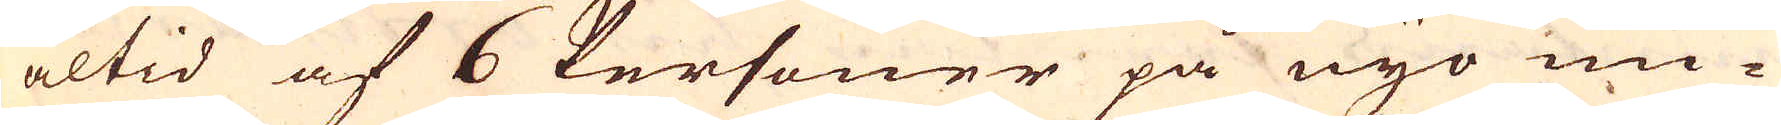altid af 6 Personer på nyo un-
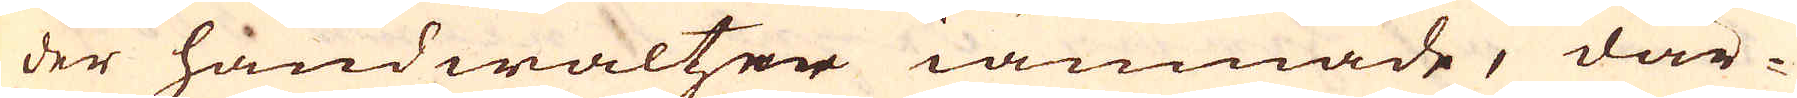der handwaltzer iämnade, där-
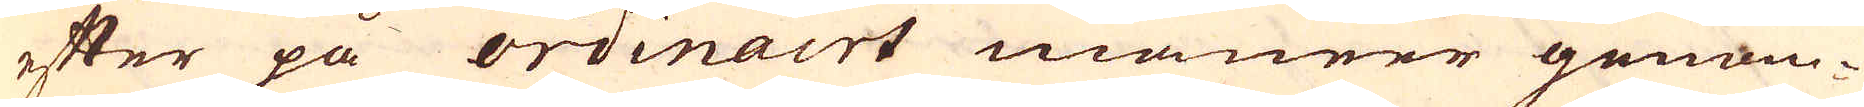efter på ordinairt maneer genom-
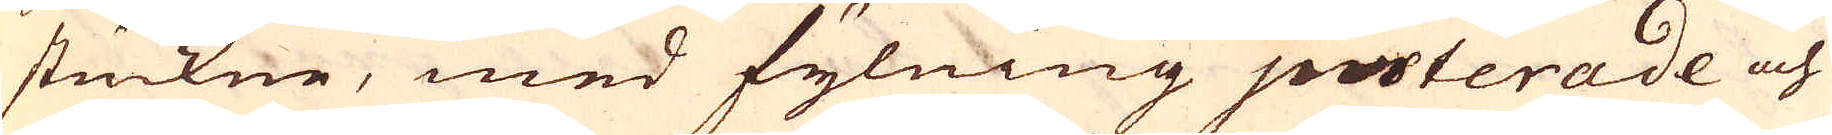stuckne, med fylning justerade och
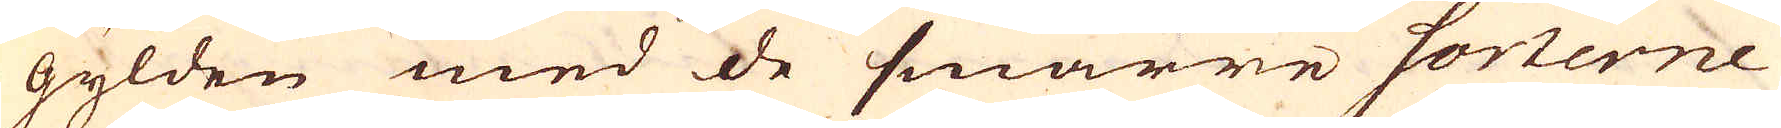gylden med de smärre sorterne
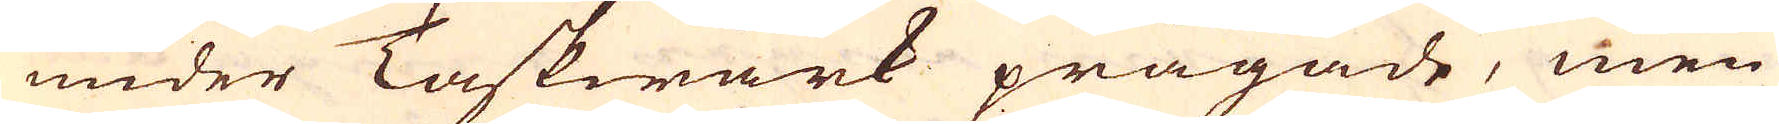under Taskwärk prägade, men
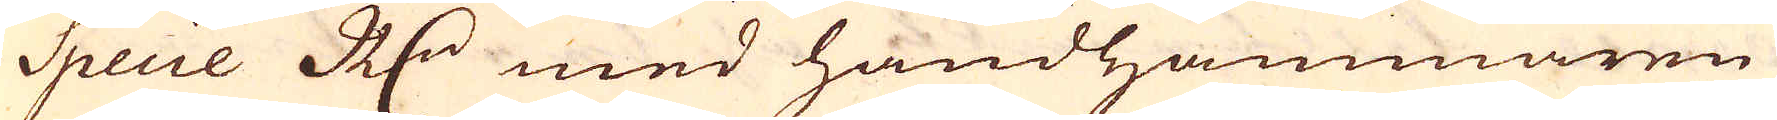Specie R:dr med handhammaren
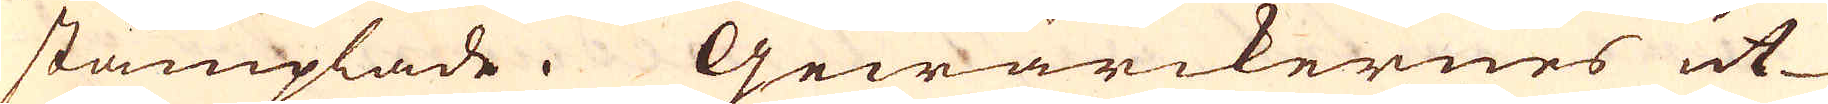stämplade. Gewärckernes ut-
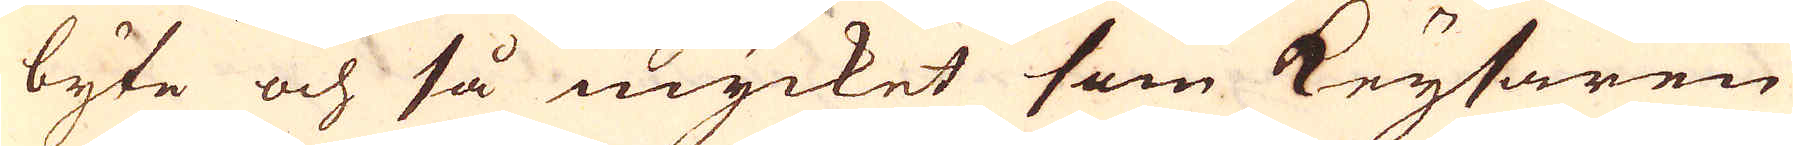byte och så mycket som Keysaren
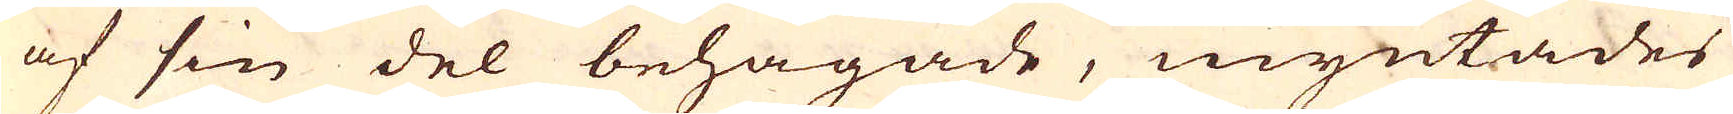af sin del behagade, myntades
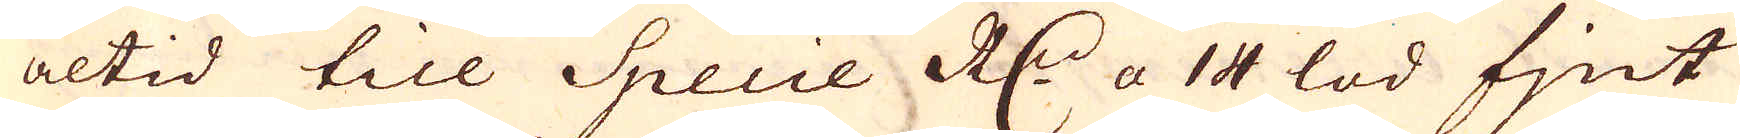altid till Specie R:dr a 14 lod fjnt
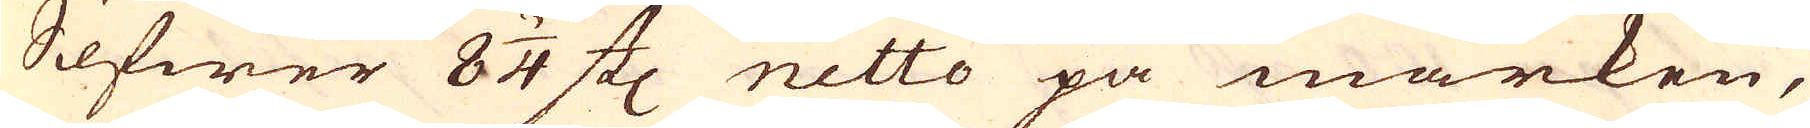Silfwer 8 3/4 st: netto på marken,
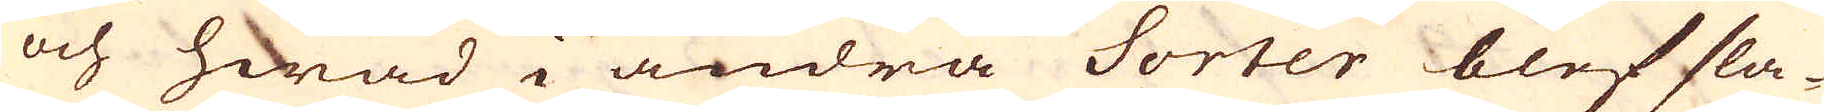och hwad i andra Sorter blef sla-
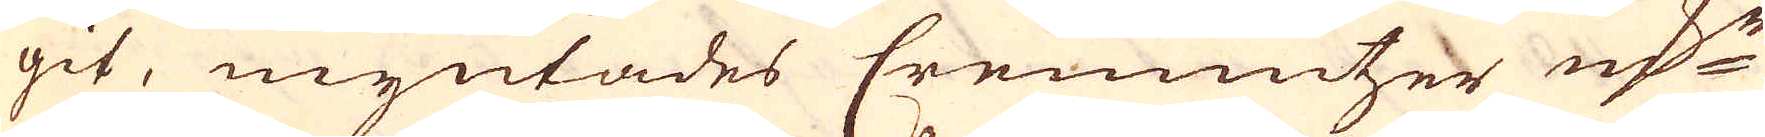git, myntades Cremnitzer marker
